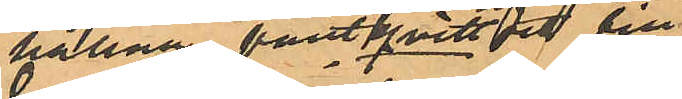hållna pantkvittot till
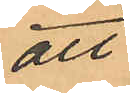att
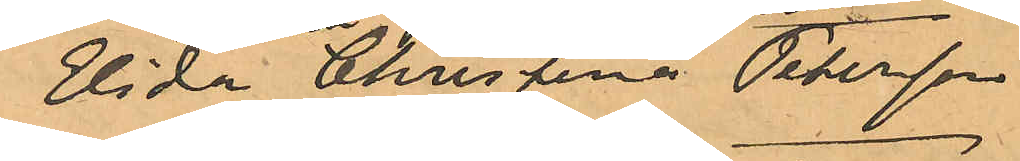Elida Christina Petersson
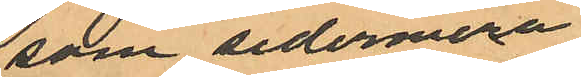som sedermera
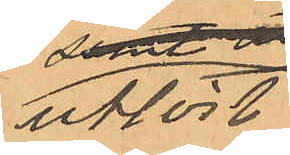utlöst
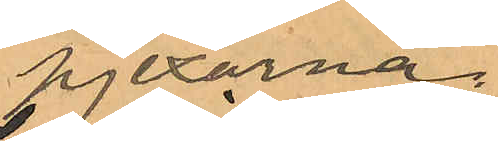pjexorna,
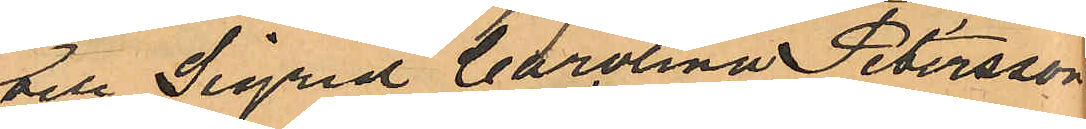att Olsson och Sigrid Carolina Petersson,
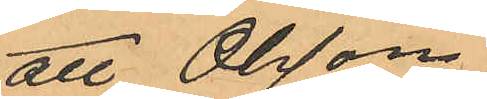någon dag 
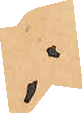i
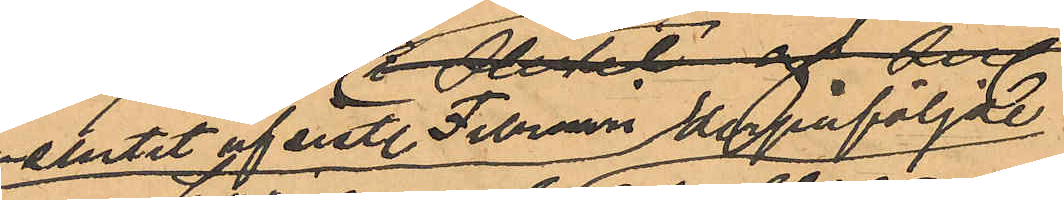slutet af sistl Februari 
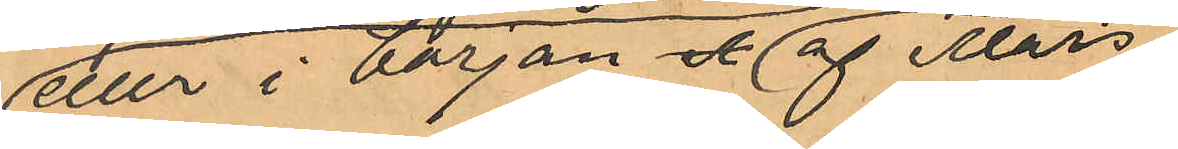eller i början af Mars
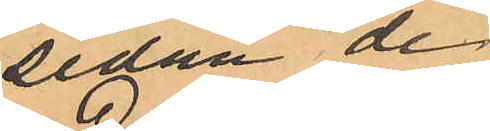sedan de
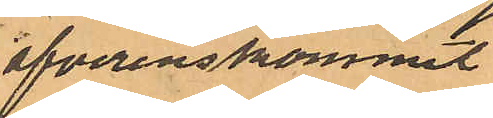öfverenskommit
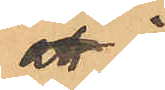att i 
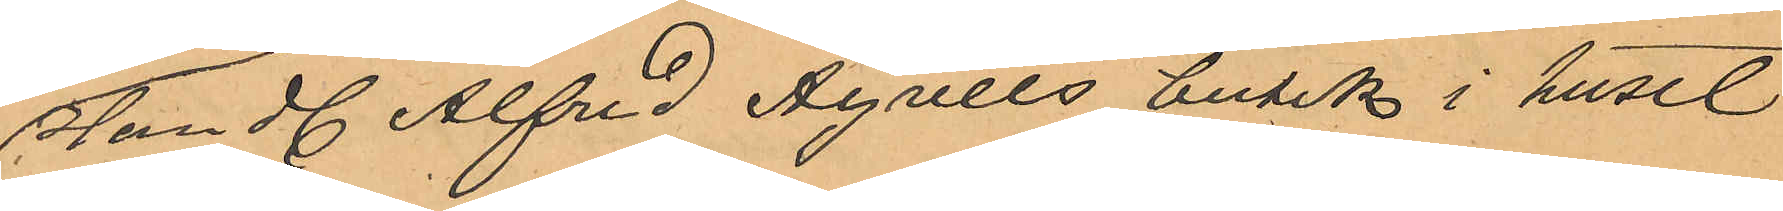Handl Alfred Agrells butik i huset
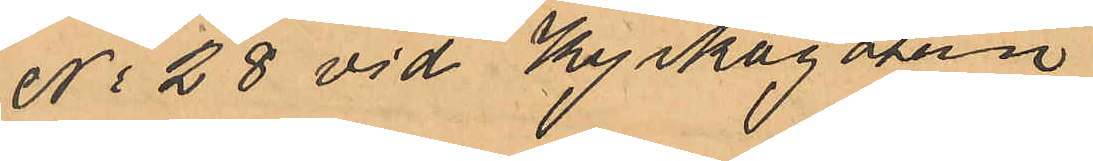No 28 vid Kyrkogatan
